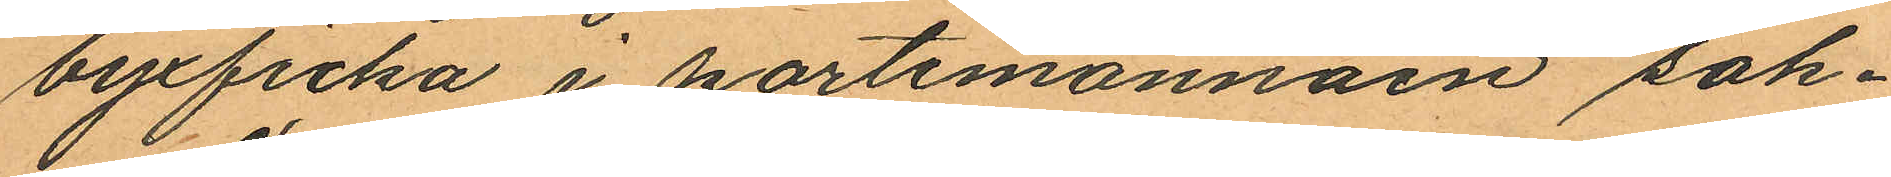byxficka i portemonnäen sak¬
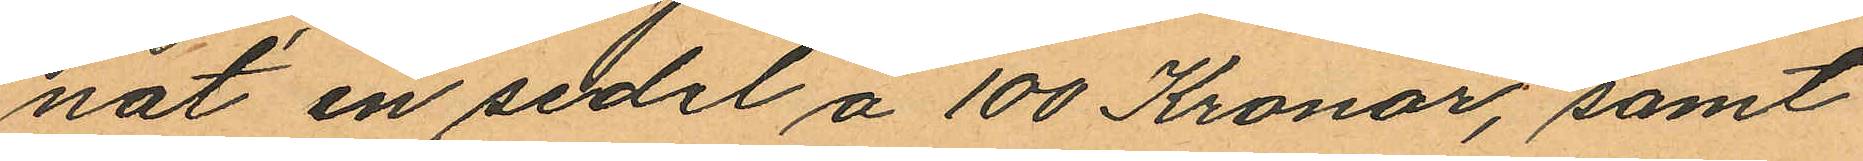nat en sedel á 100 Kronor, samt
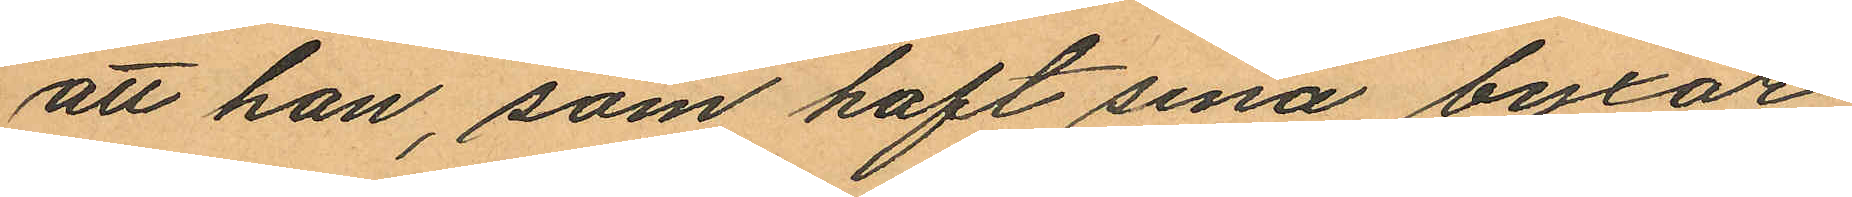att han, som haft sina byxor
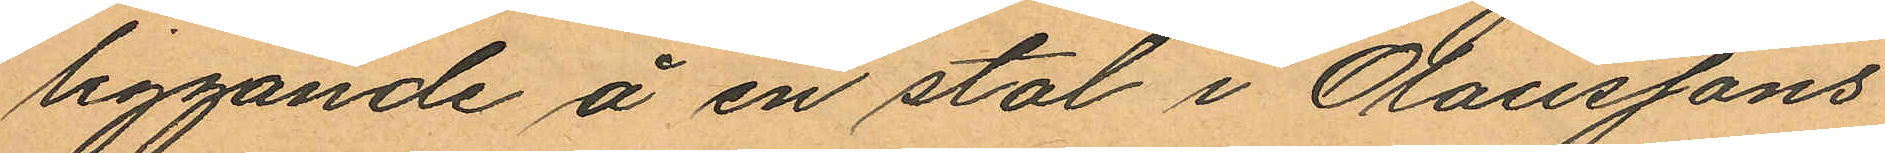liggande å en stol i Olaussons
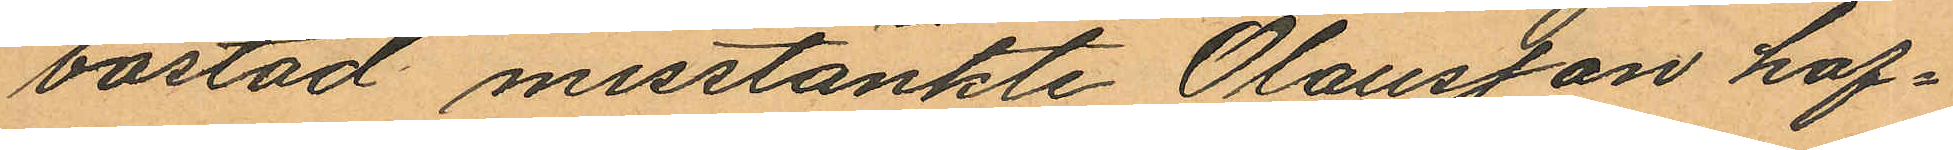bostad misstänkte Olausson haf¬
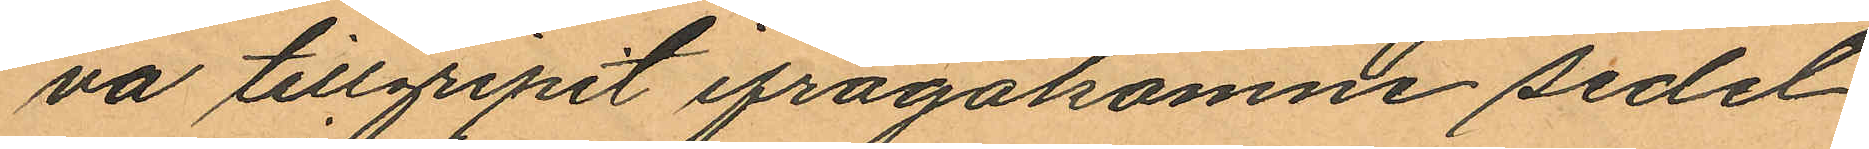va tillgripit ifrågakomne sedel
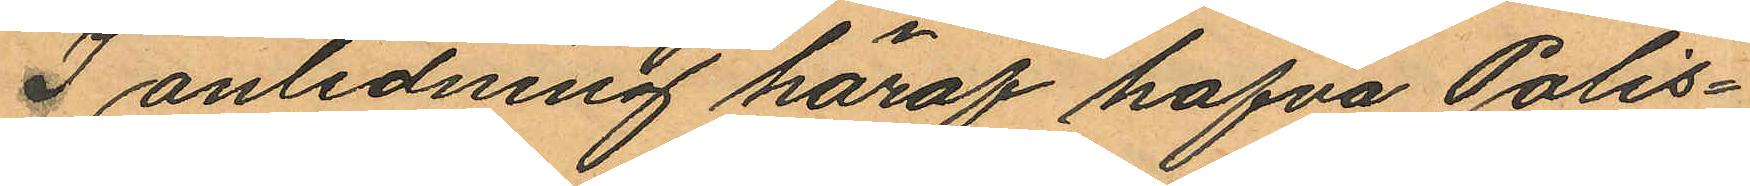I anledning häraf hafva Polis¬
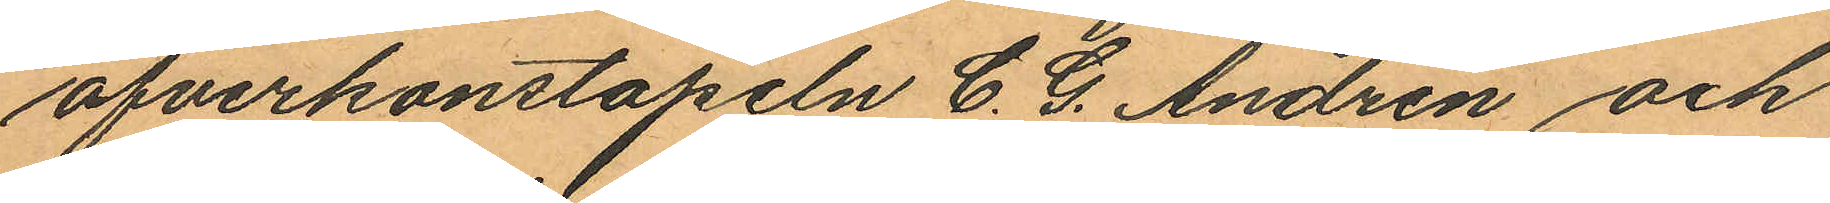öfverkonstapeln C. G. Andrén och
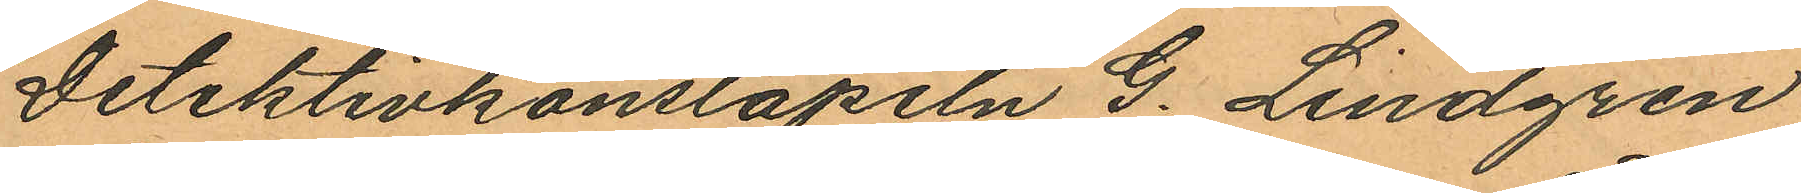Detektivkonstapeln G. Lindgren
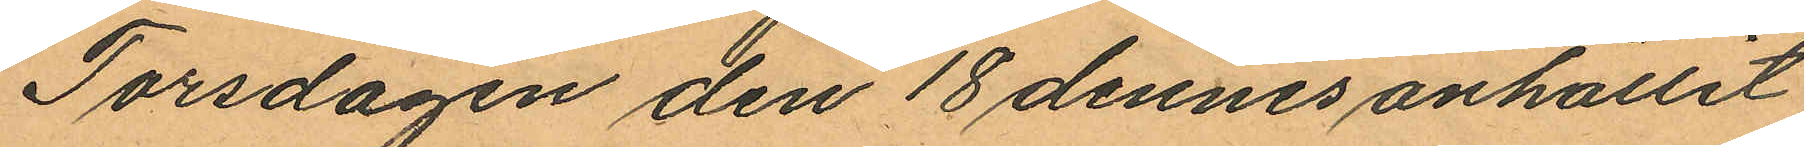Torsdagen den 18 dennes anhållit
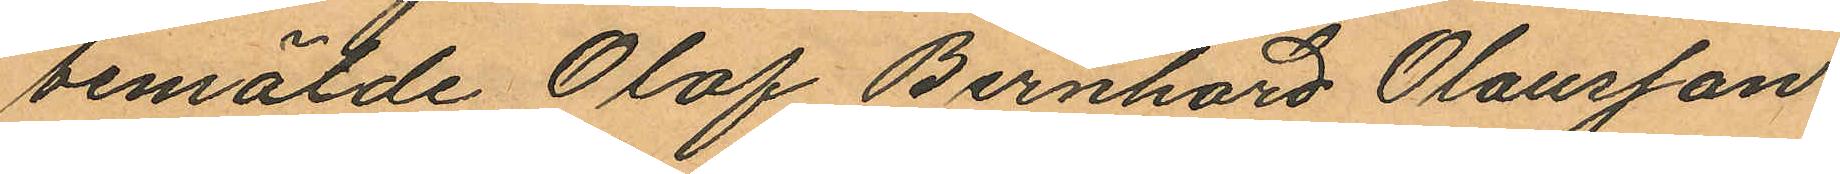bemälde Olof Bernhard Olausson
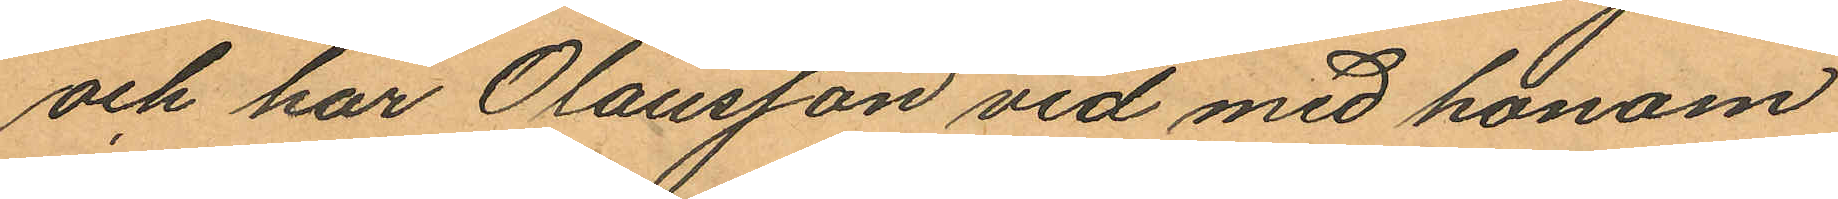och har Olausson vid med honom
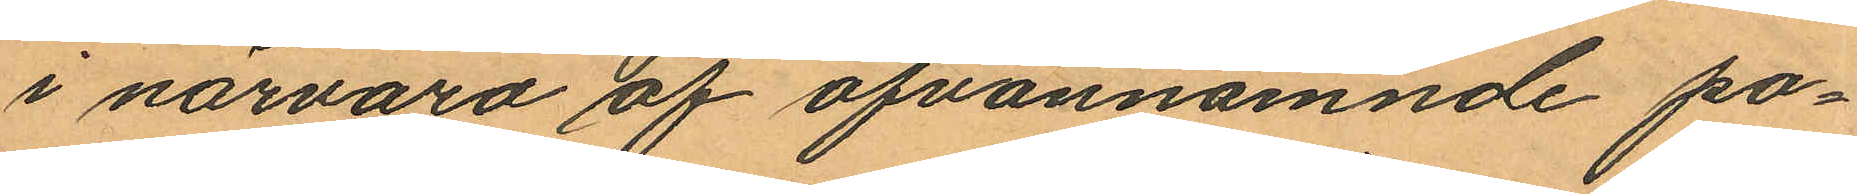i närvaro af ofvannämnde po¬
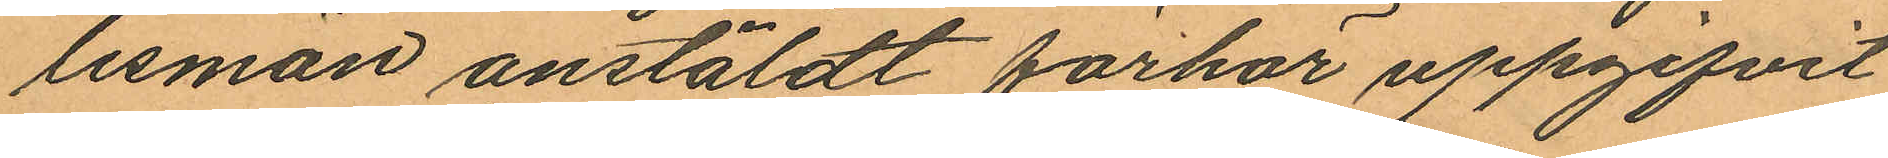lisman anstäldt förhör uppgifvit
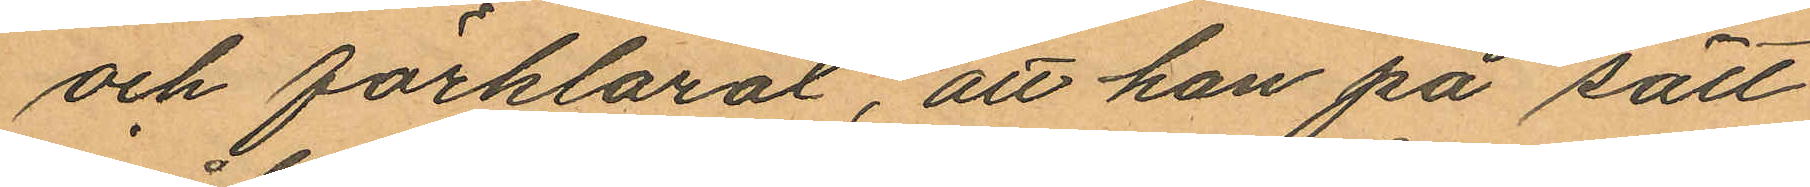och förklarat, att han på sätt
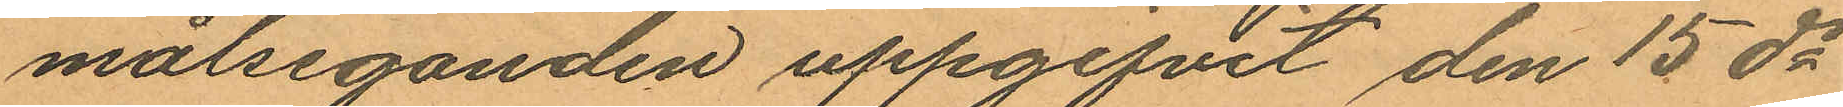målseganden uppgifvit den 15 ds
